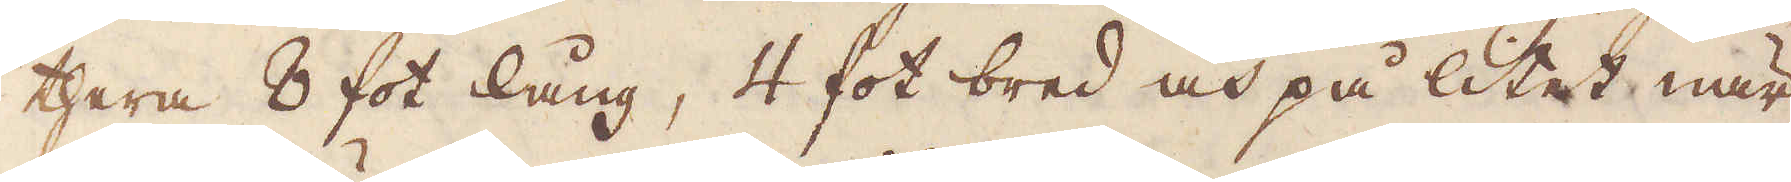thera 8 fot lång, 4 fot bred och på litet när
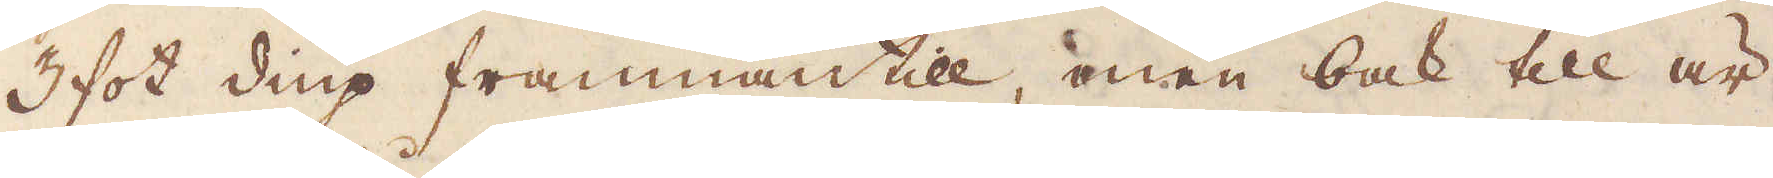3 fot diup frammantill, men bak till är
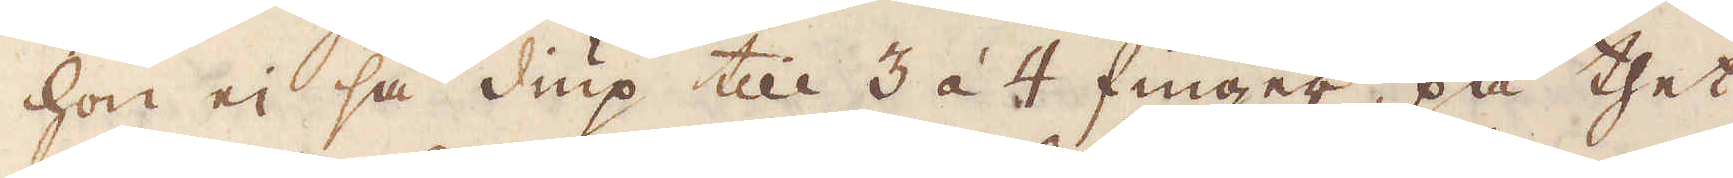hon ei så diup till 3 à 4 finger, på thet
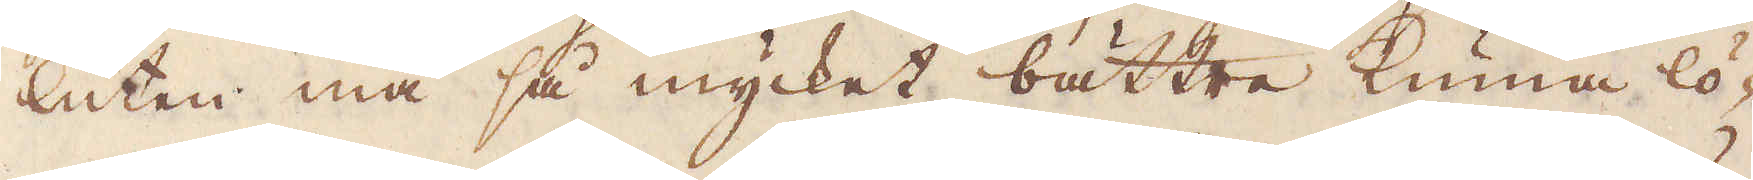luten må så mycket bättre kunna lö-
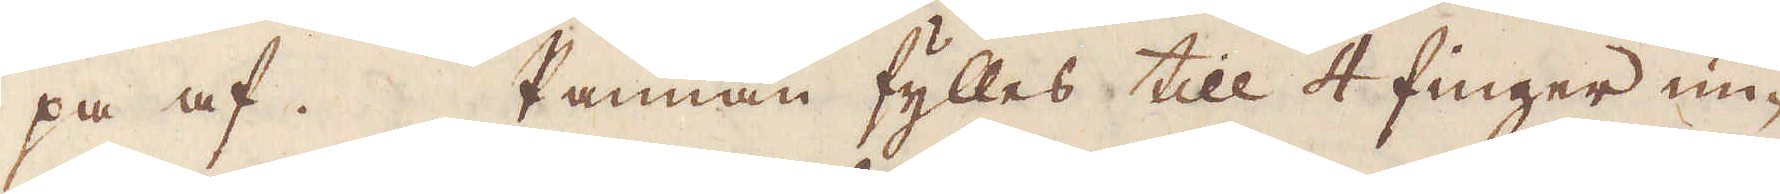pa af. Pannan fylles till 4 finger un-
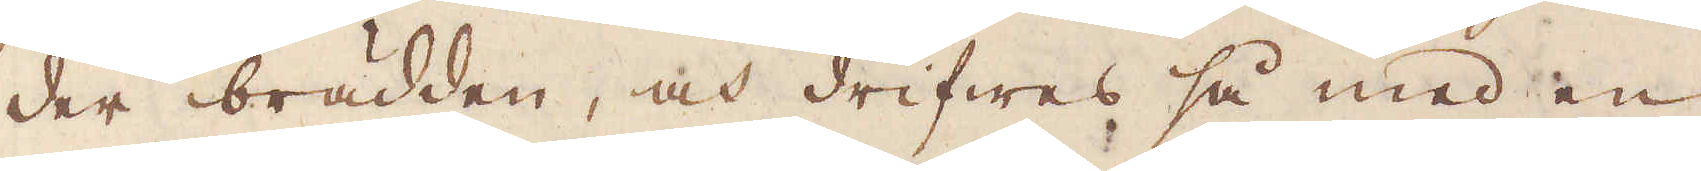der brädden, och drifwes så med en
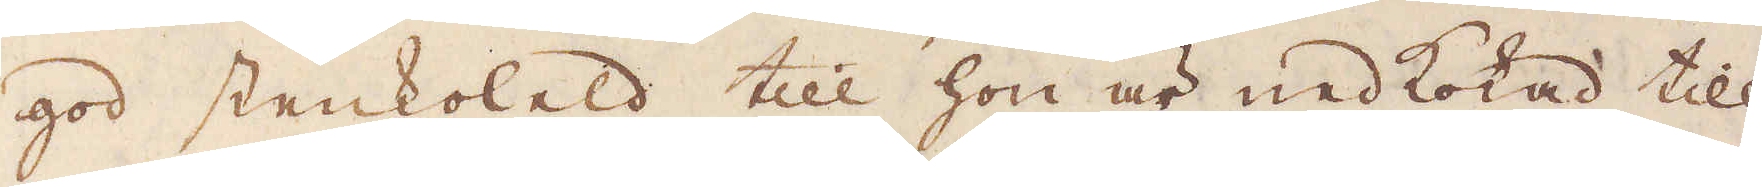god stenkoleld till hon är nedkokad till
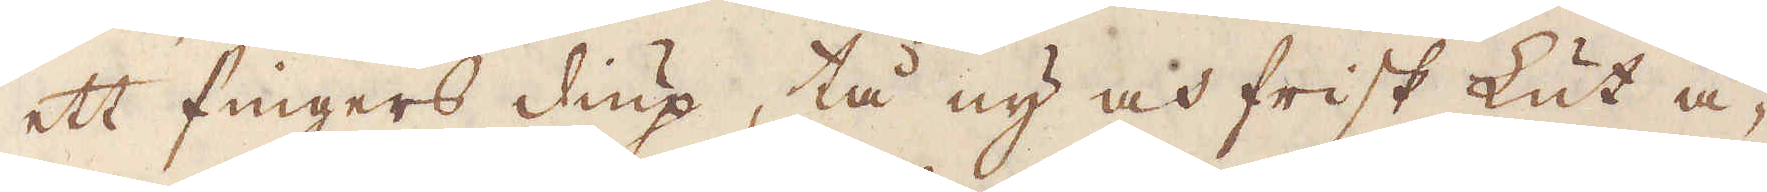ett fingers diup, tå ny och frisk Lut å-
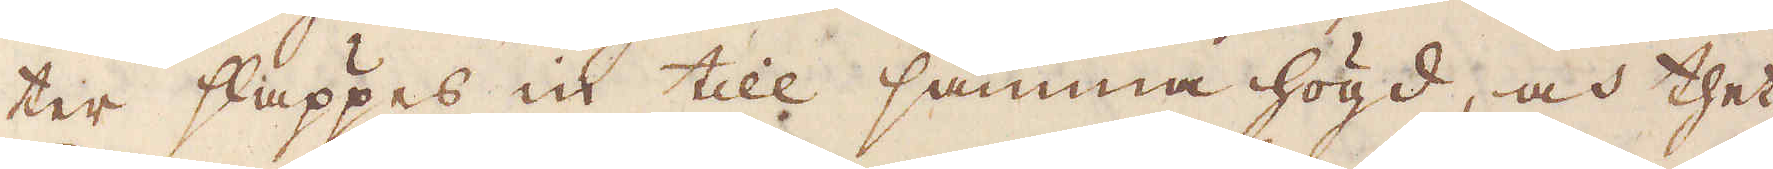ter släppes in till samma högd, och thet
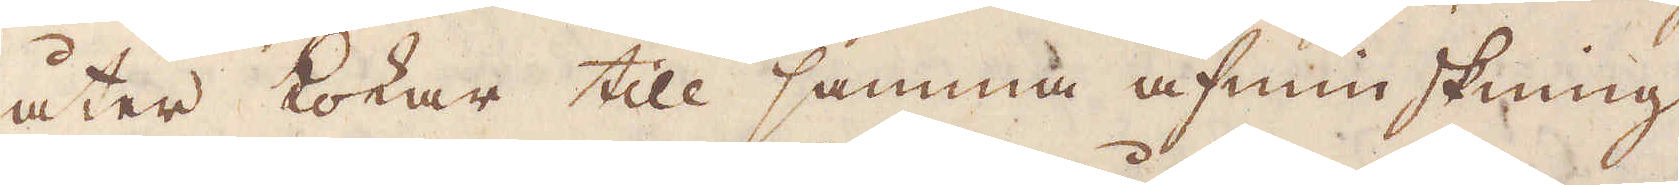åter kokar till samma afminskning
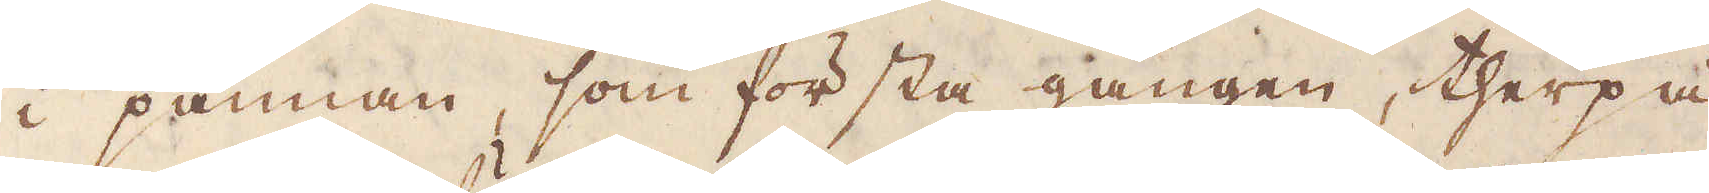i pannan, som första gången, therpå
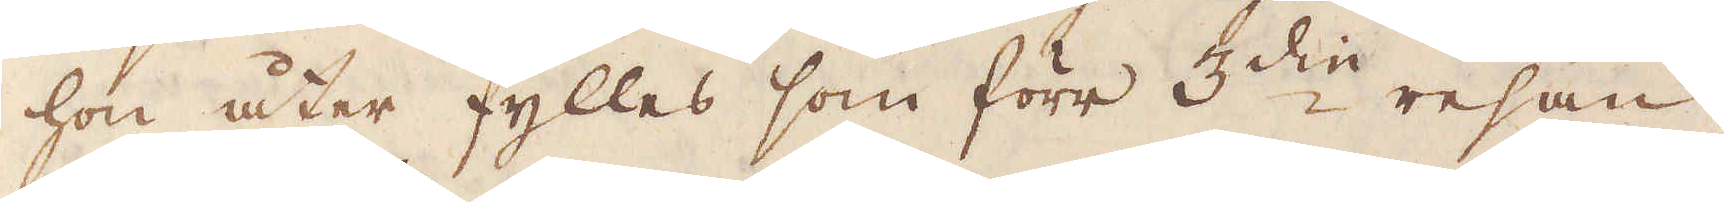hon åter fylles som förr 3:die resan.
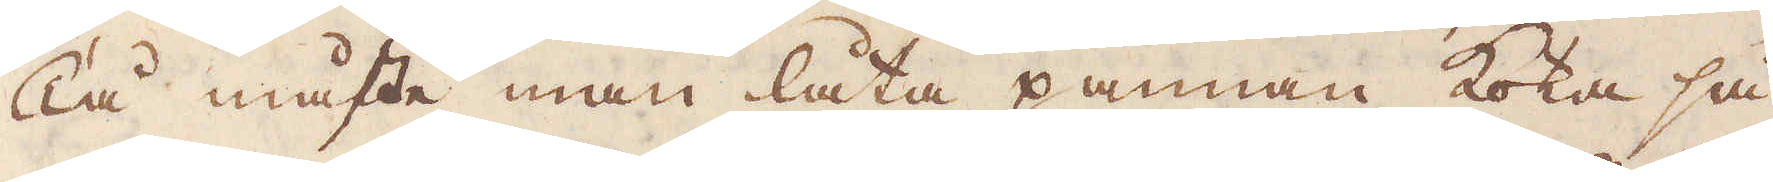Tå måste man låta pannan koka så
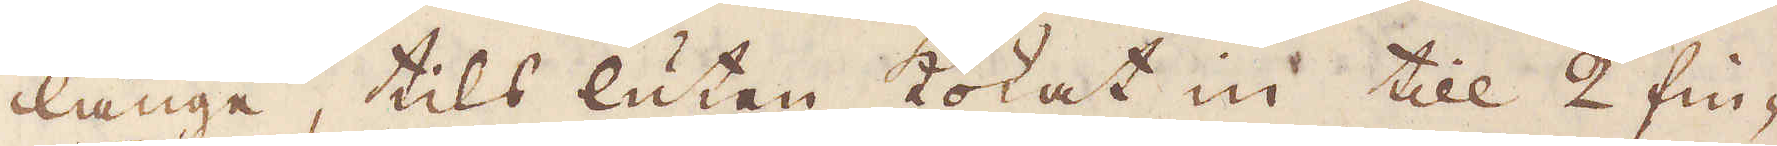länge, tils lutan kokat in till 2 fin-
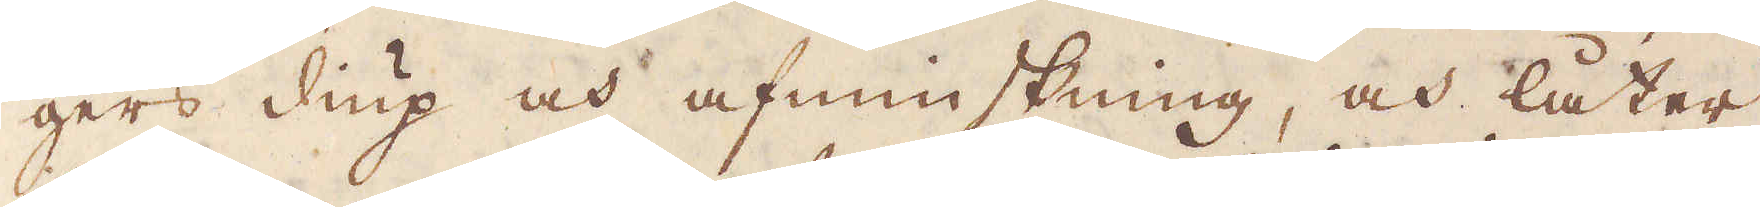gers diup och afminskning, och låter
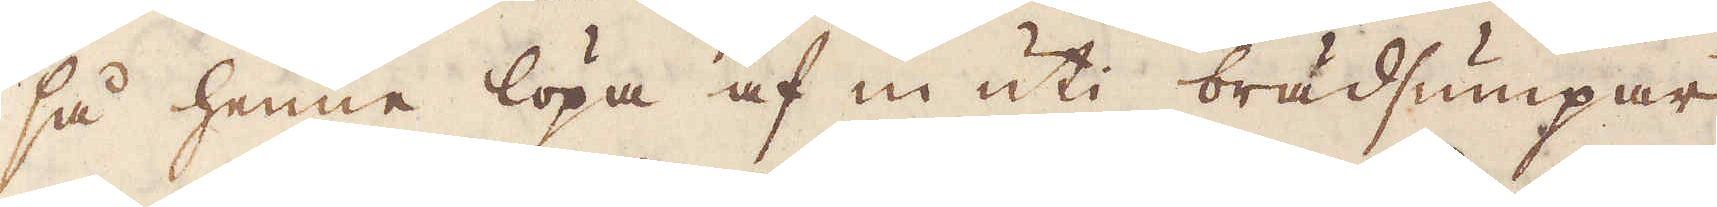så henne löpa af in uti brädsumpar
